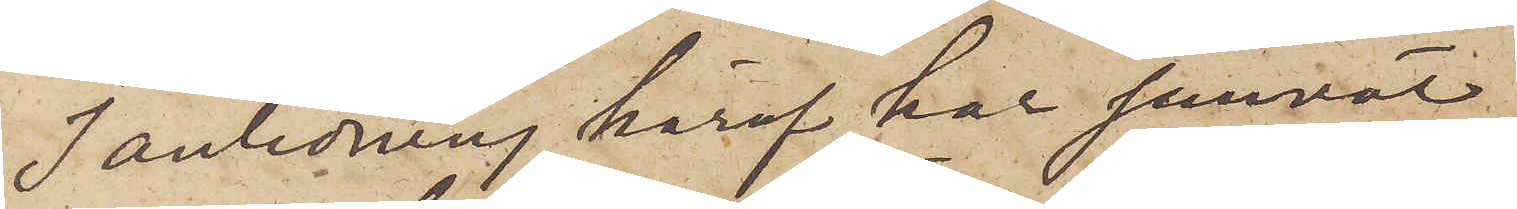I anledning häraf har jemväl
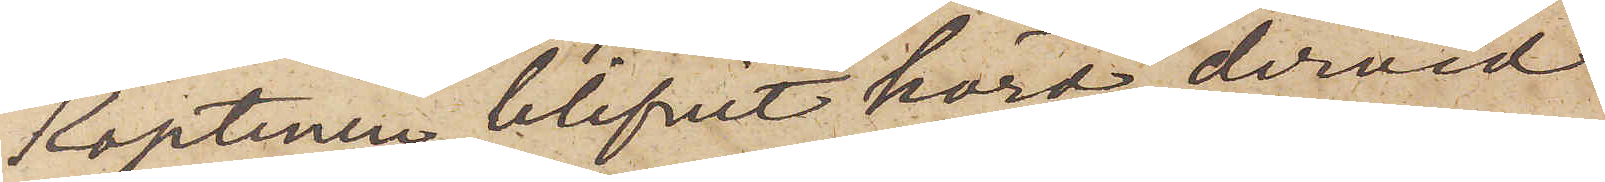Kaptenen blifvit hörd, dervid
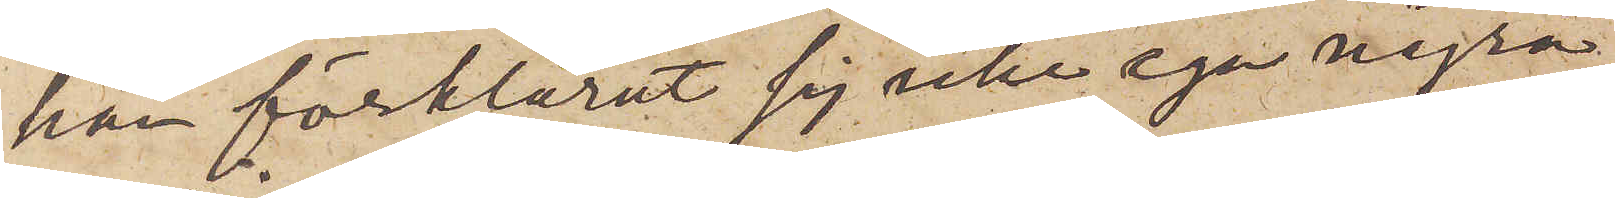han förklarat sig icke ega några
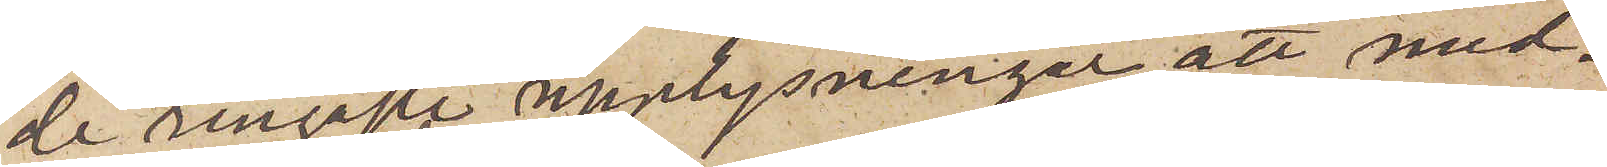de ringaste upplysninger att med¬
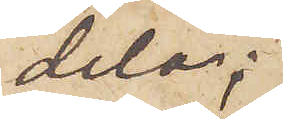dela;
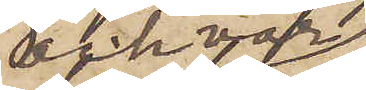och var
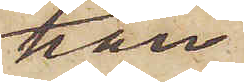han
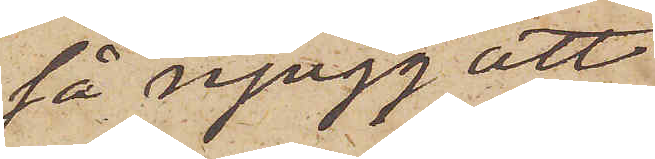så njugg att
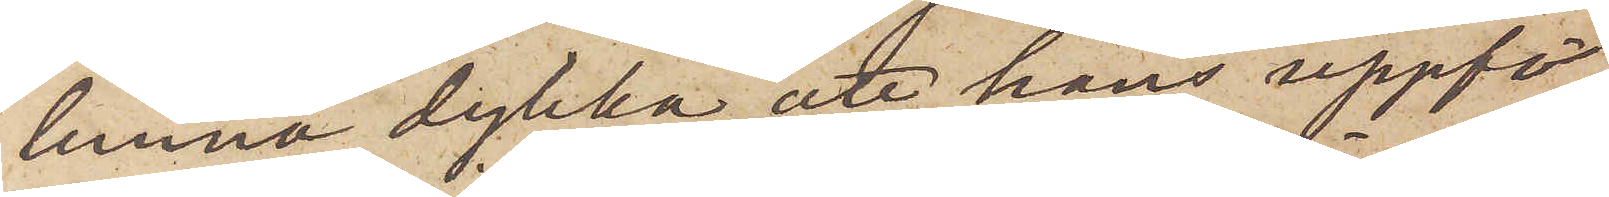lemna dylika, att hans uppfö¬
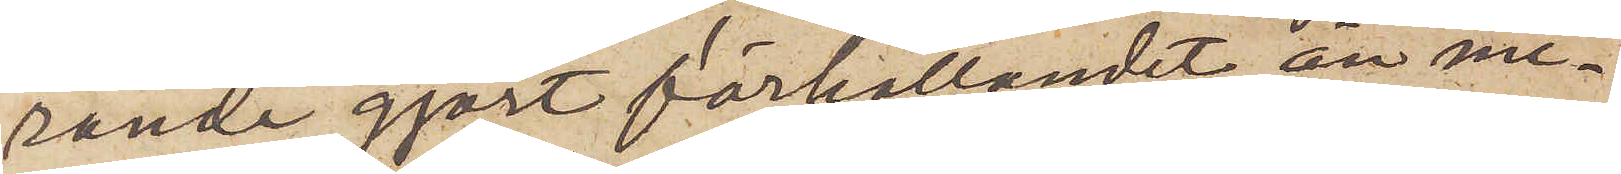rande gjort förhållandet än me¬
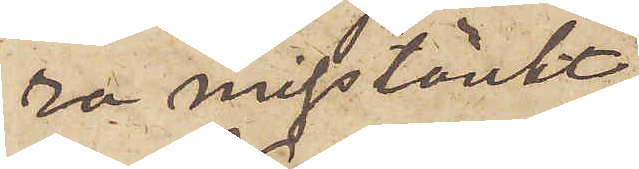ra misstänkt.
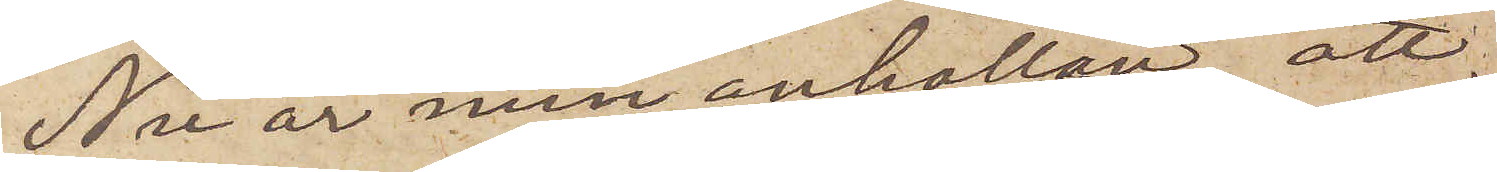Nu är min anhållan, att
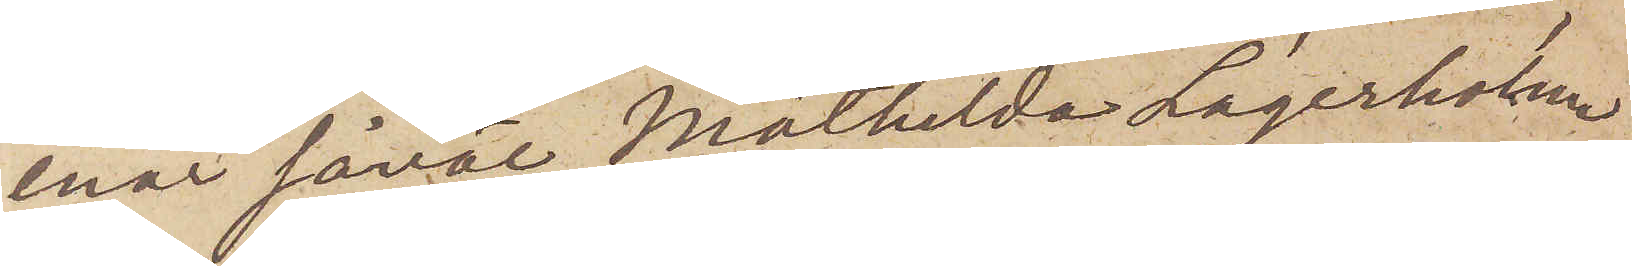enär såväl Mathilda Lagerholm
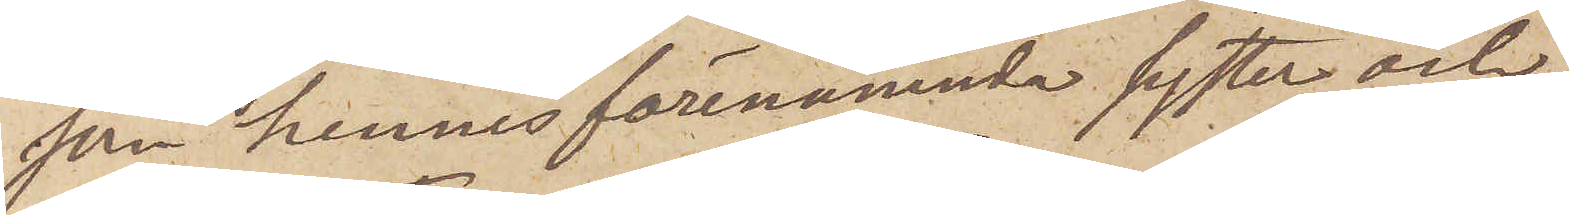som hennes förenämnda syster och
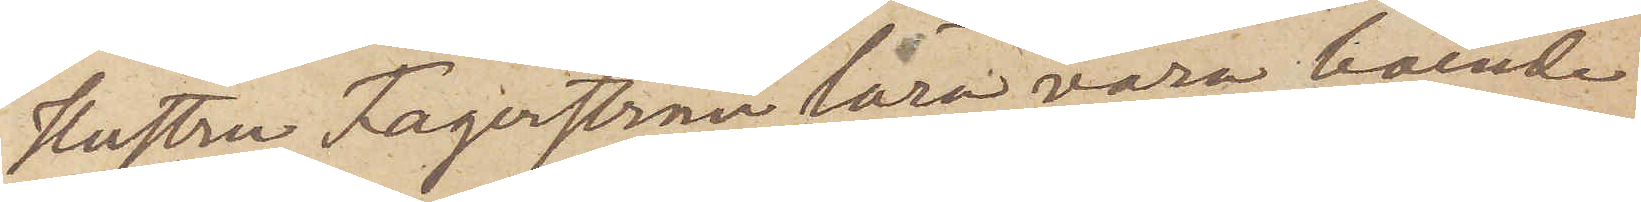hustru Fagerström lära vara boende
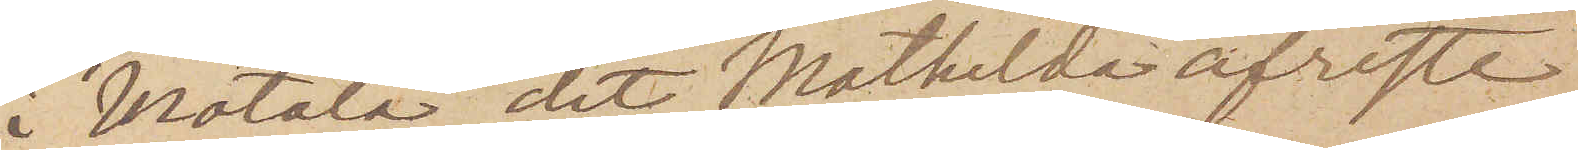i Motala, dit Mathilda afreste
